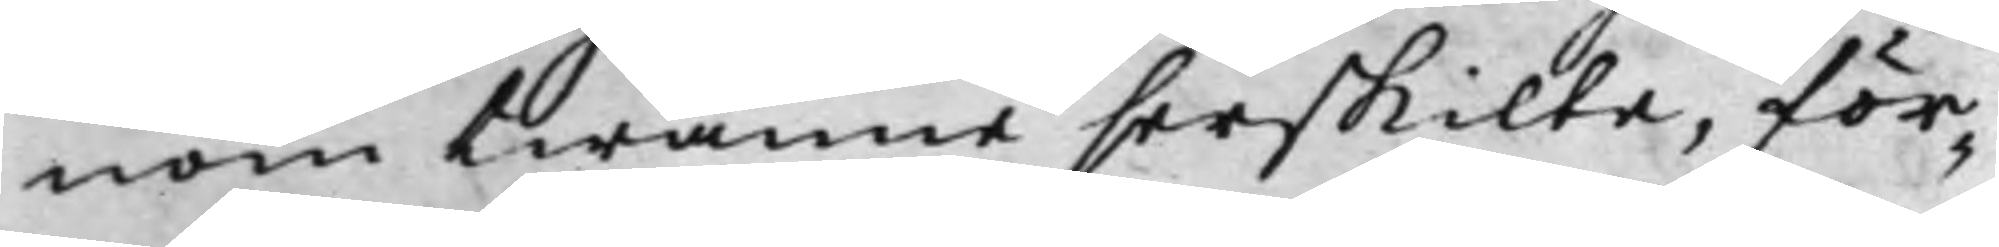nom twänne serskilte, för¬
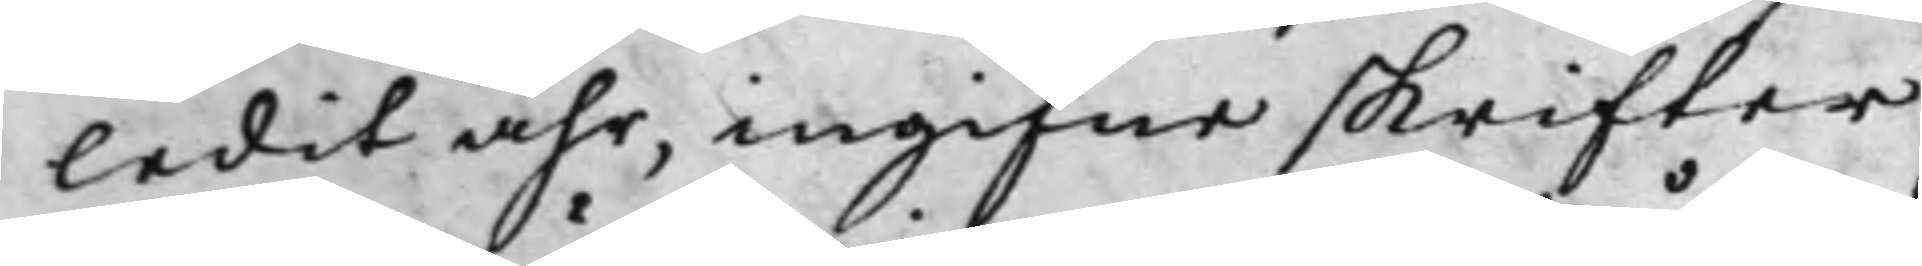ledit åhr, ingifne skrifter
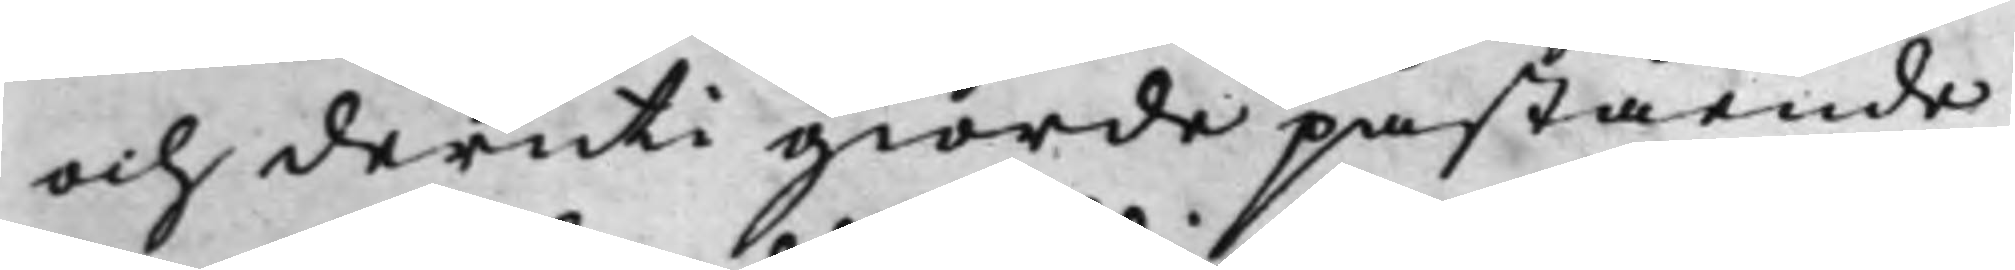och deruti giorde påstående
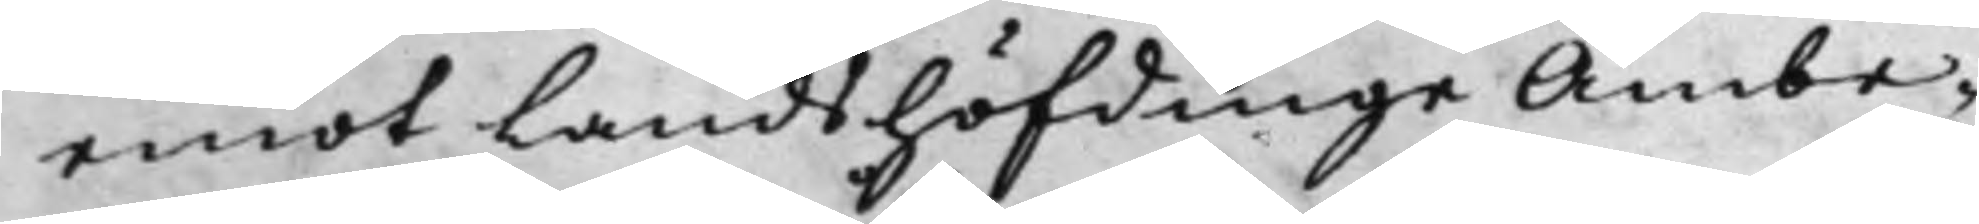emot Landshöfdinge Ämbe¬
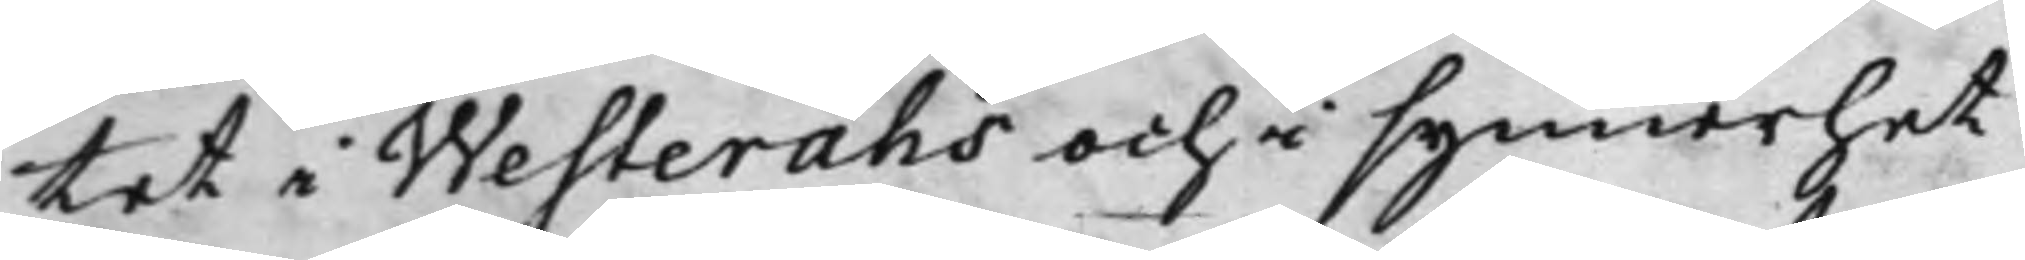tet i Westeråhs och i synnerhet
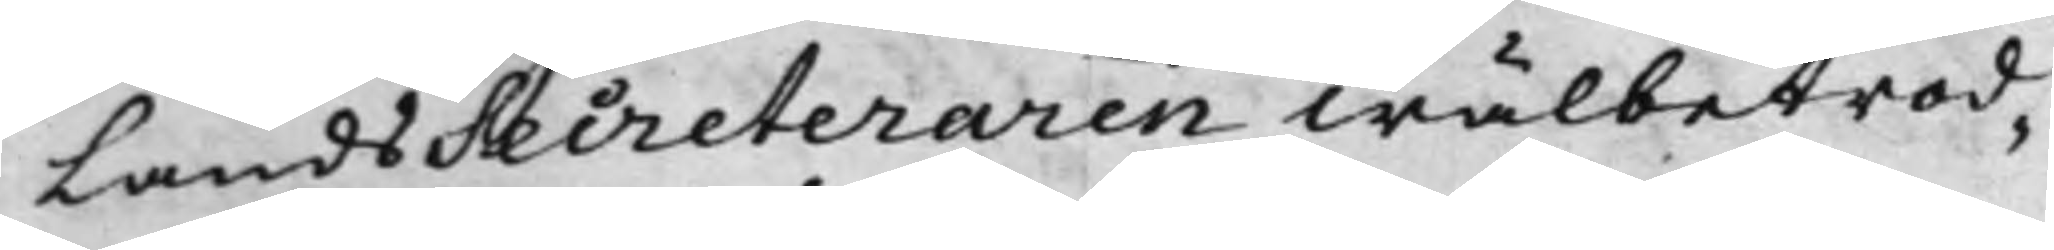LandsSecreteraren Wälbetrod¬
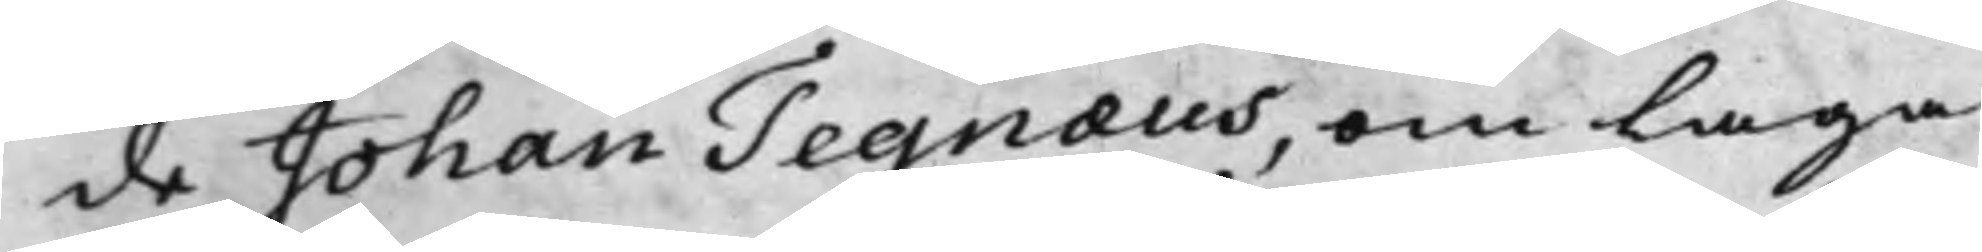de Johan Tegnæus, om Laga
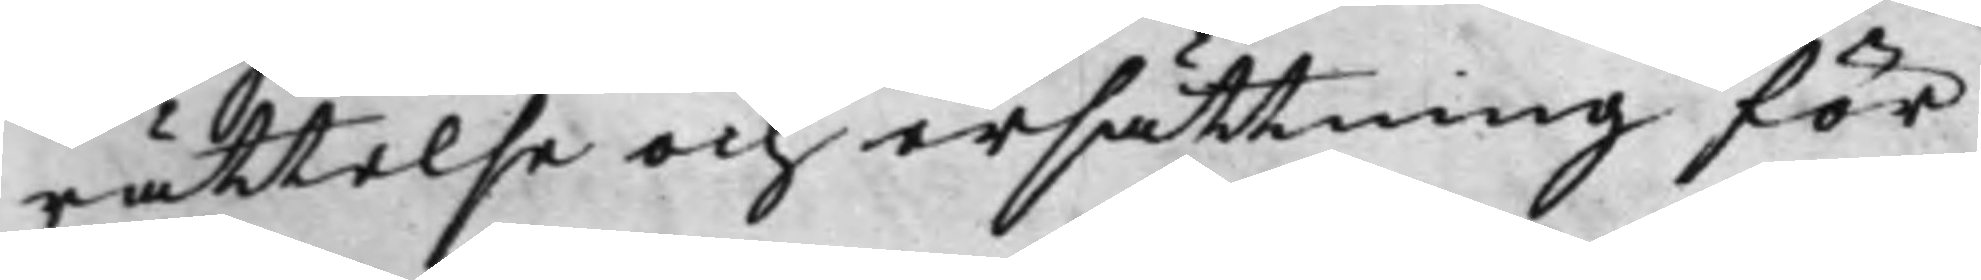rättelse och ersättning för
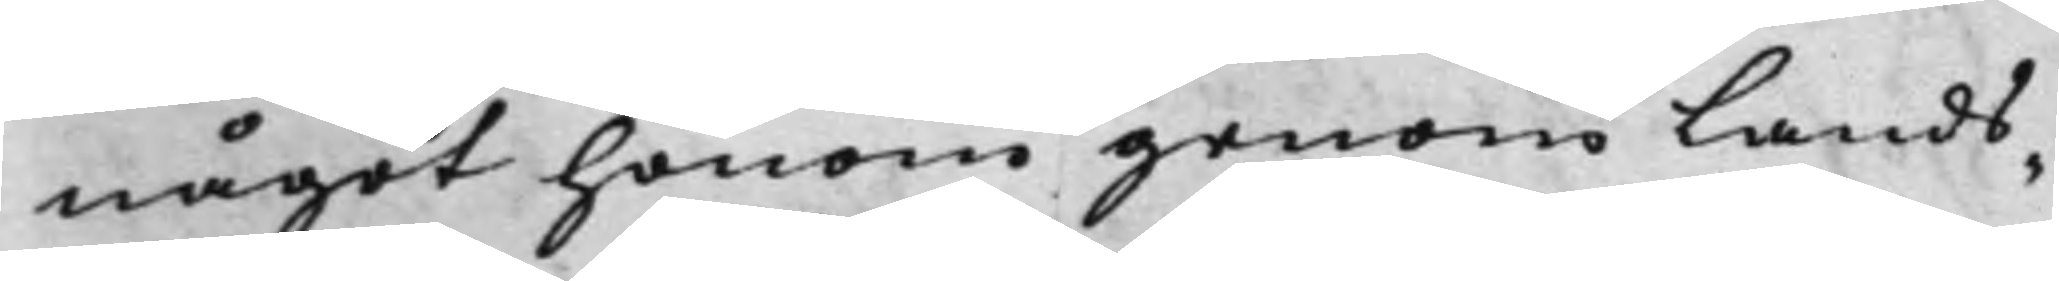något honom genom Lands¬
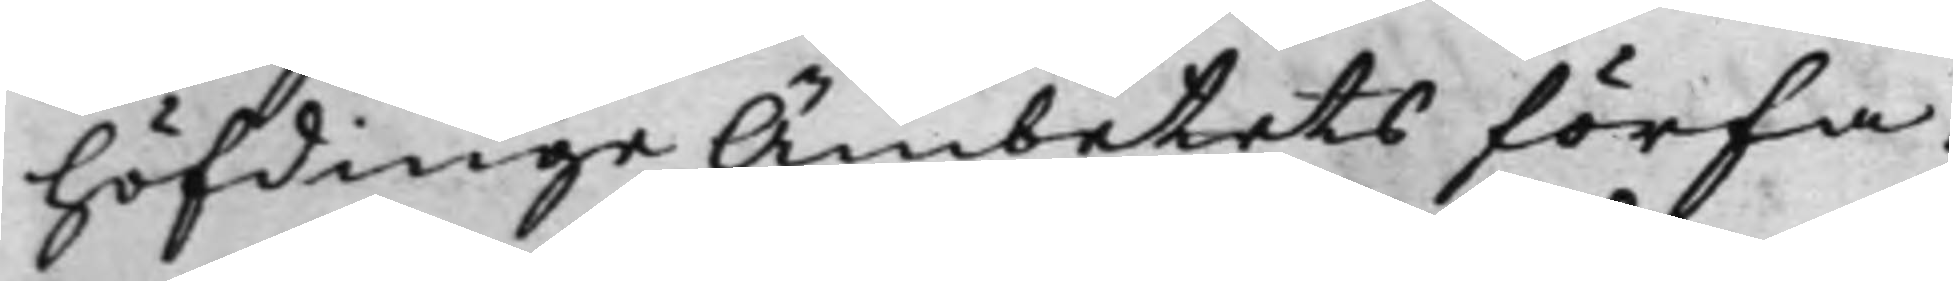höfdinge Ämbetets förfa¬
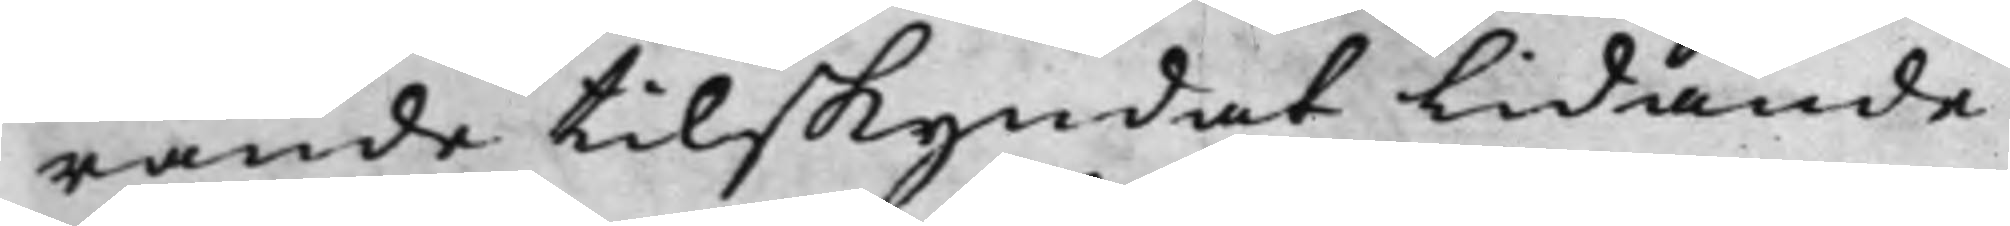rande tilskyndat Lidande
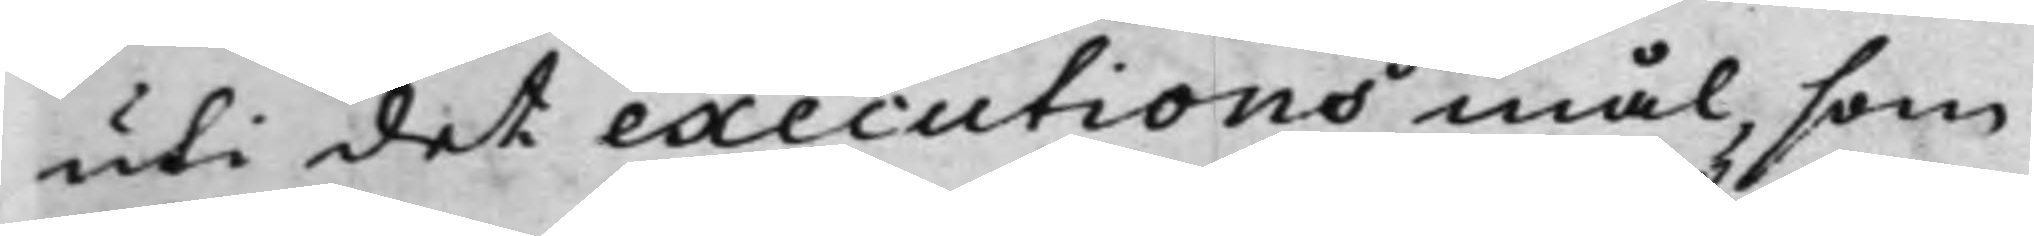uti det executionsmål, som
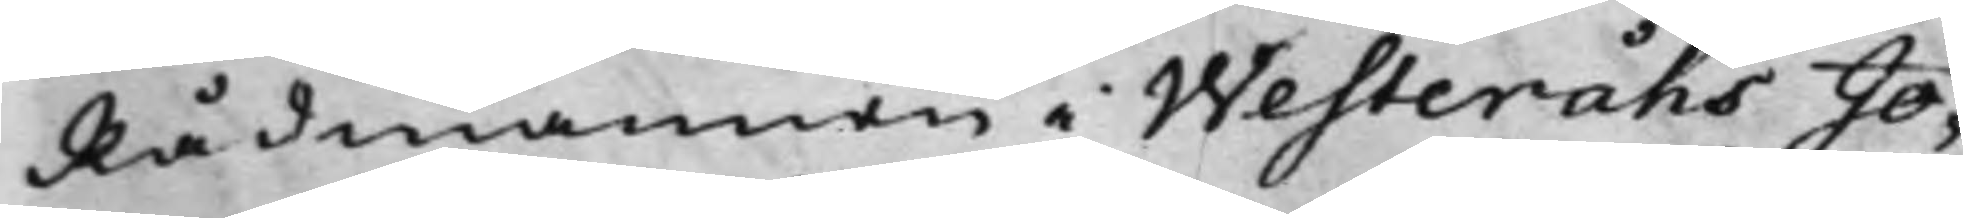Rådmannen i Westeråhs Jo¬
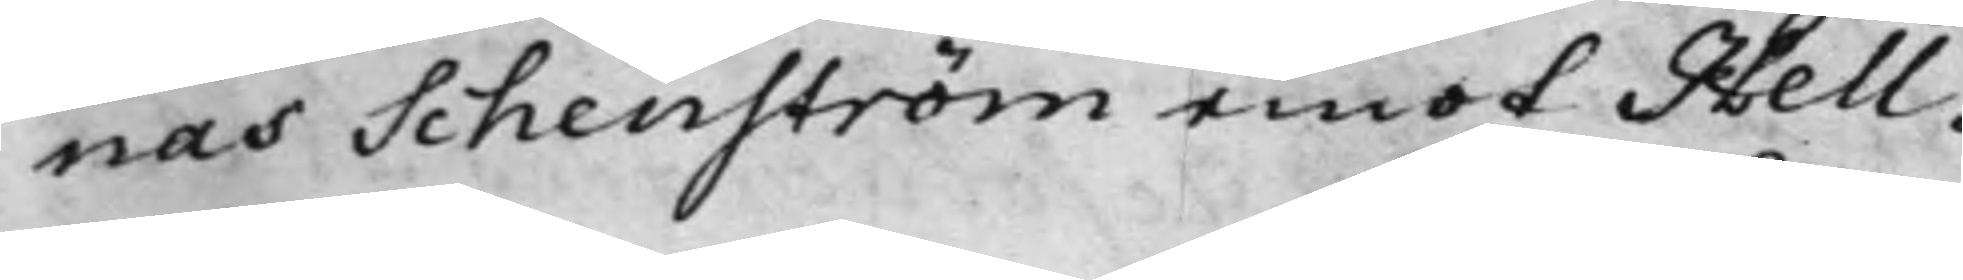nas Schenström emot Hell¬
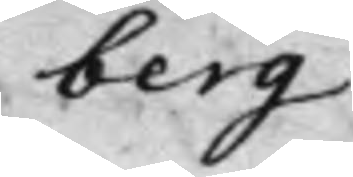berg
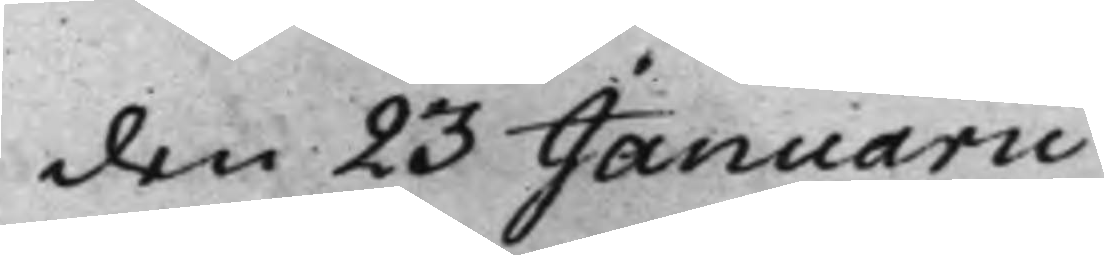den 23 Januarii
